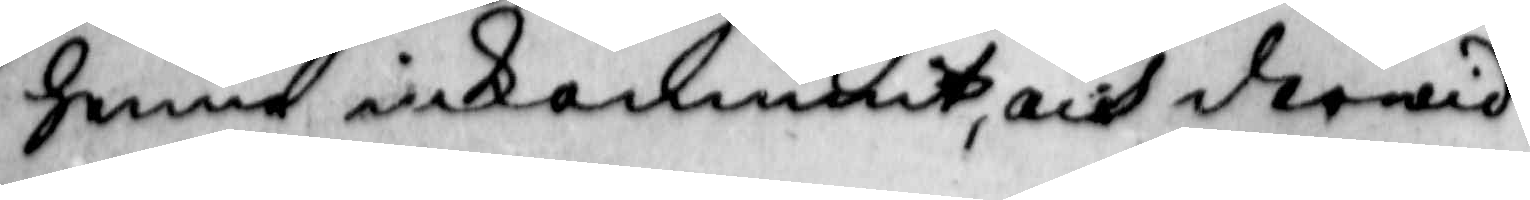henne inkommit, och derwid
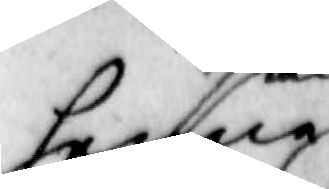henne 
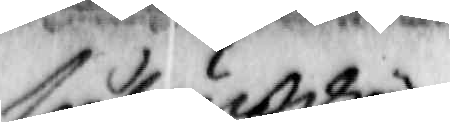sålunde
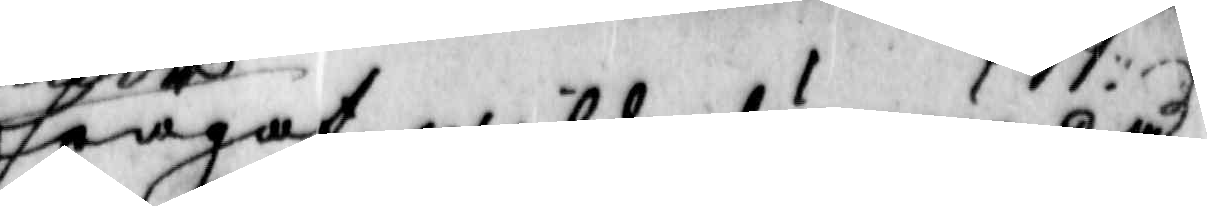frågat, will du nu på
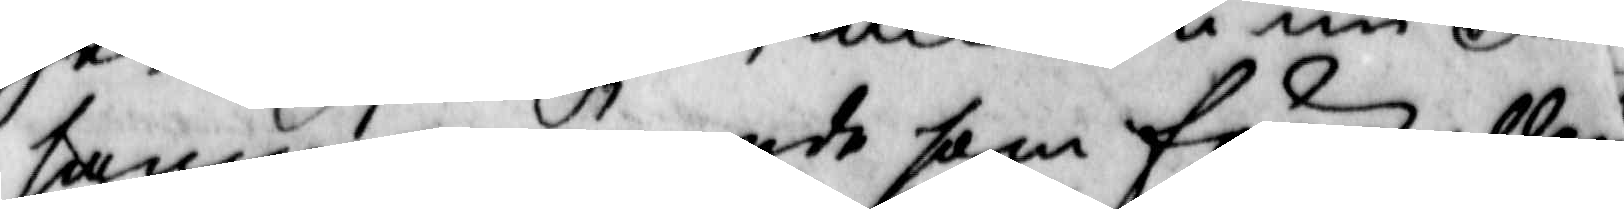samma ärende som förr, eller
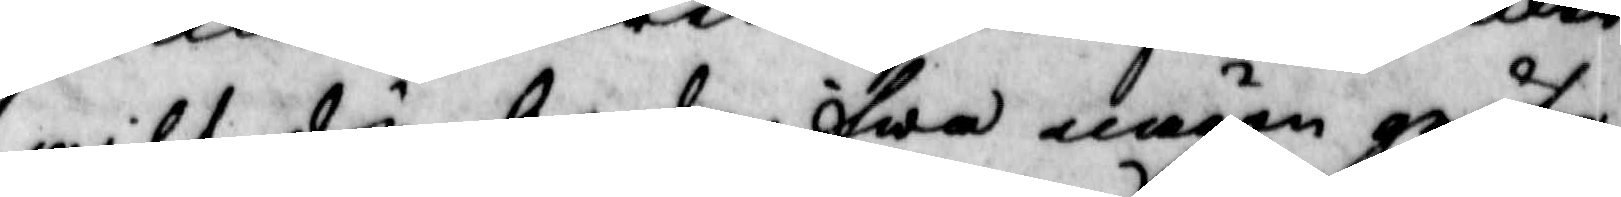will du bedrifwa någon gröfre
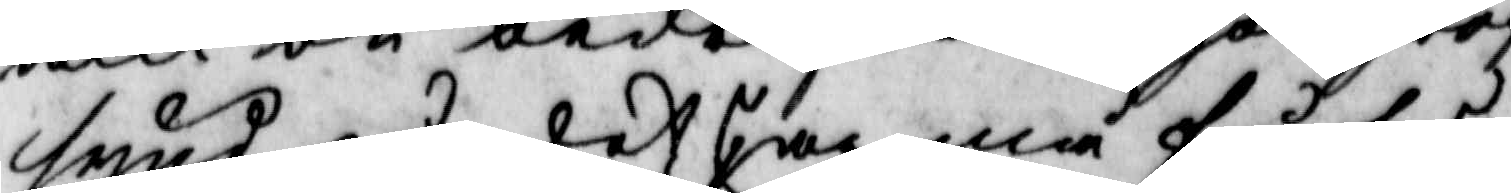synd, på det jag må få så
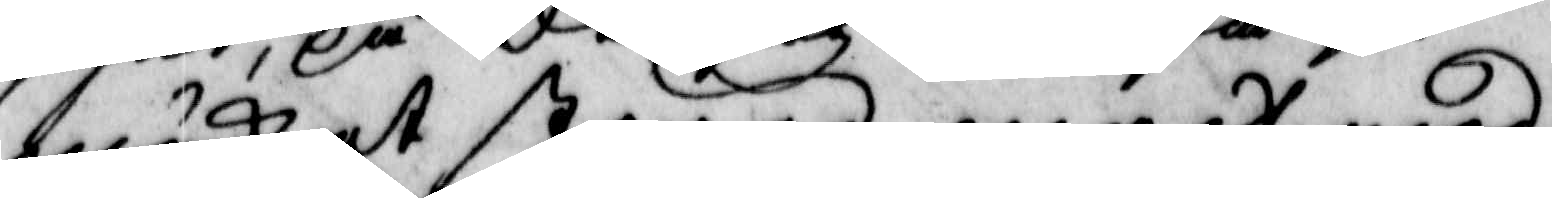mycket större magt med
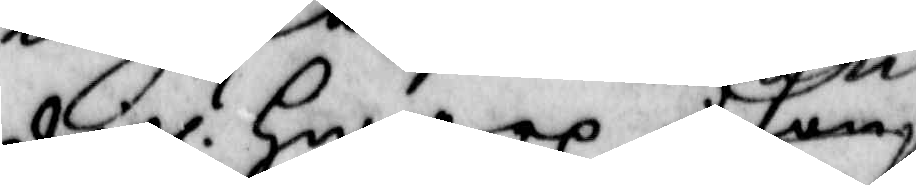digh?  Hwarpå hon 
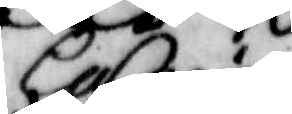Carin
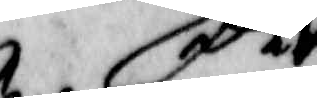wara
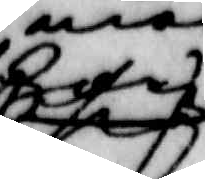p
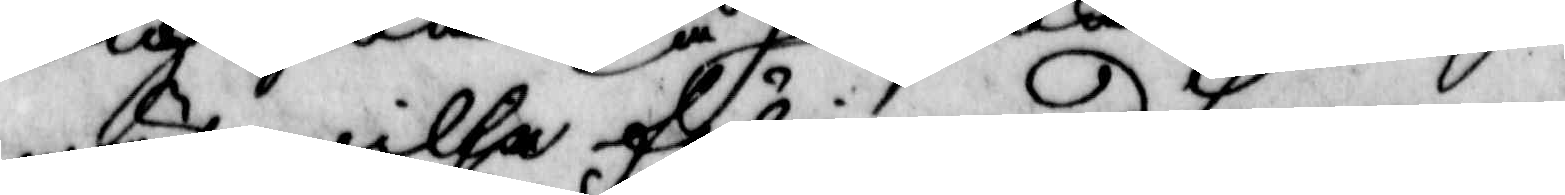mät willja följa med honom
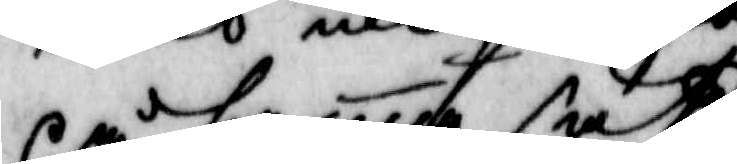på sama sätt, 
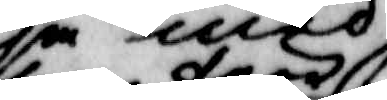som förr
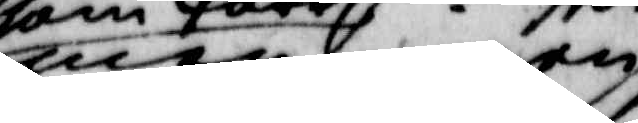men ingen 
